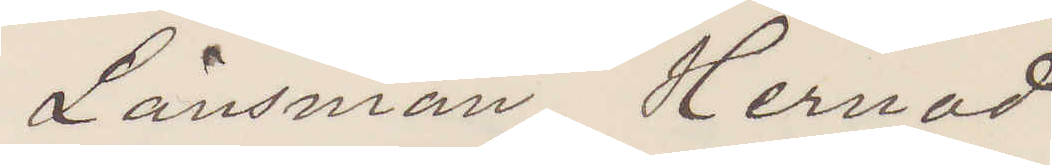Länsman Hernod
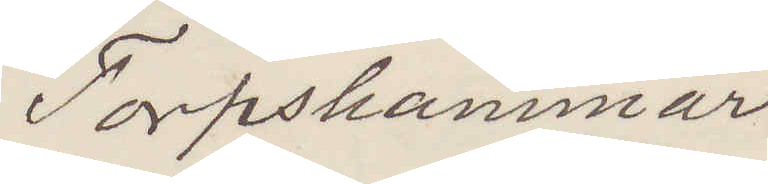Torpshammar
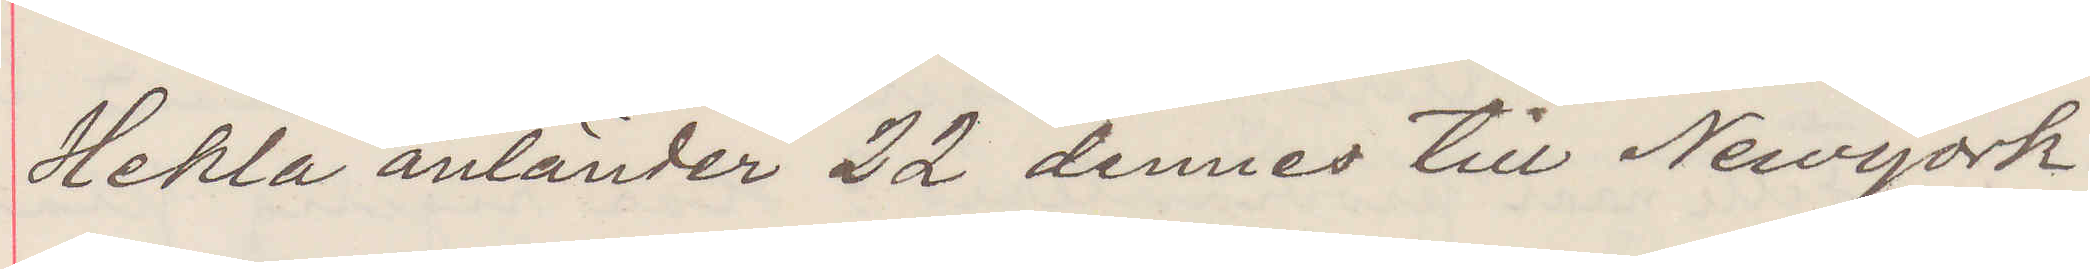Hekla anländer 22 dennes till Newyork.
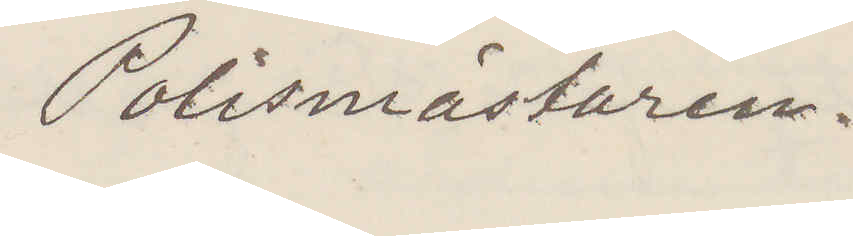Polismästaren.
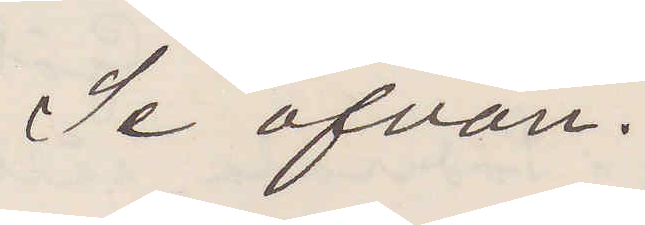Se ofvan.
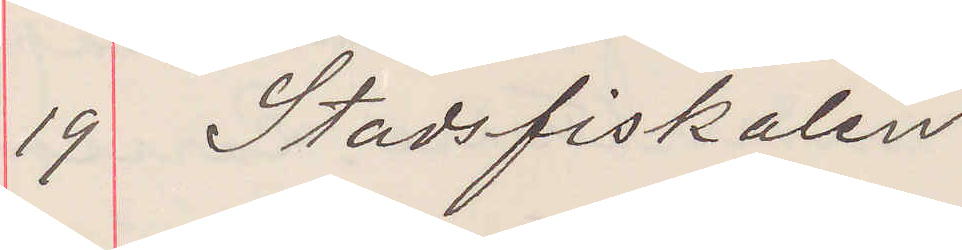19 Stadsfiskalen
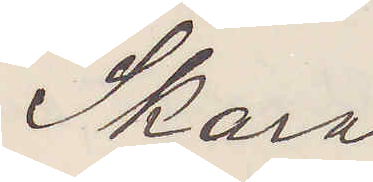Skara
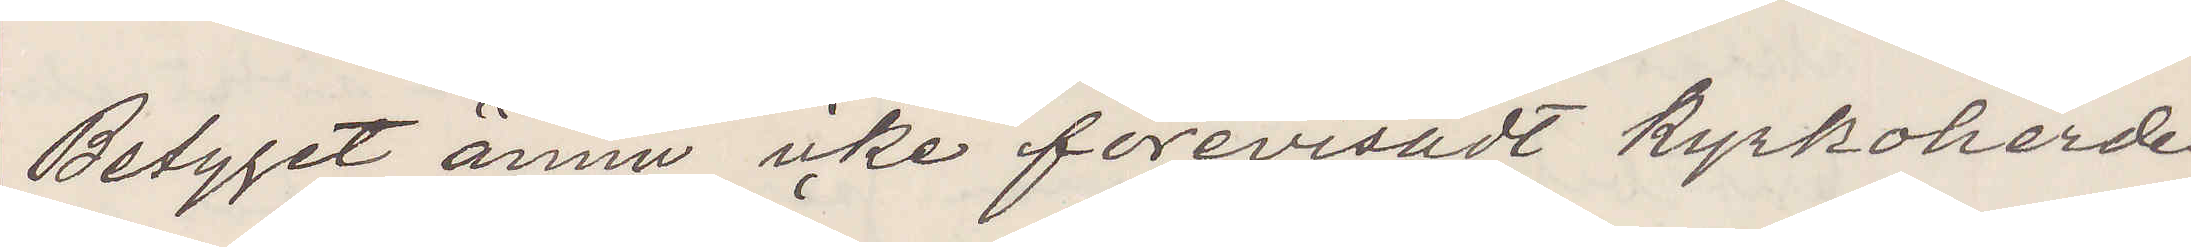Betyget ännu icke förevisat kyrkoherden
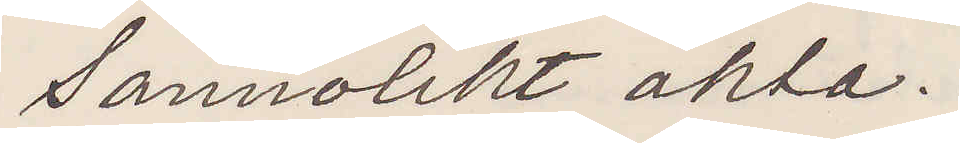Sannolikt äkta.
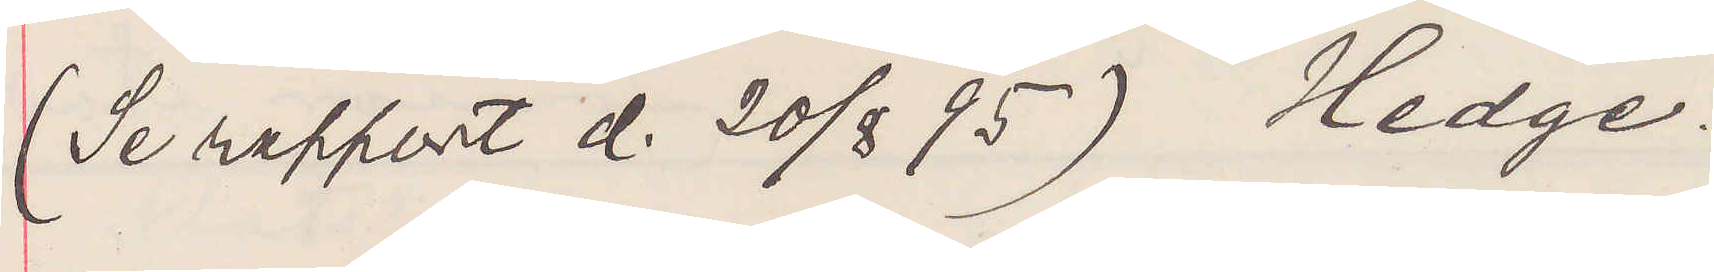(Se rapport d. 20/8 95)  Hedge.
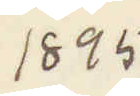1895
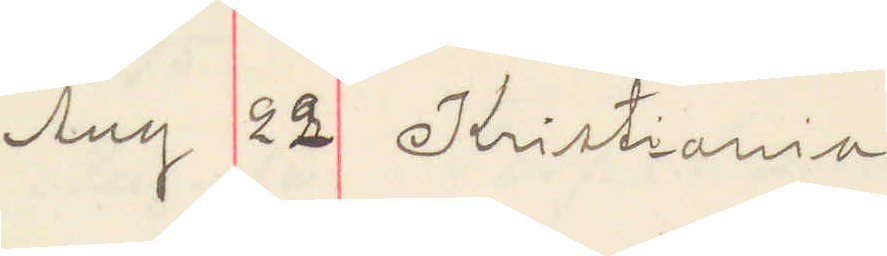Aug 22 Kristiania
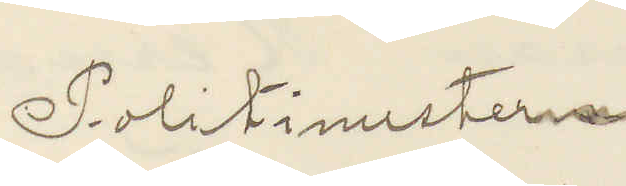Politimesteren
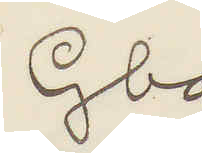Gbg.
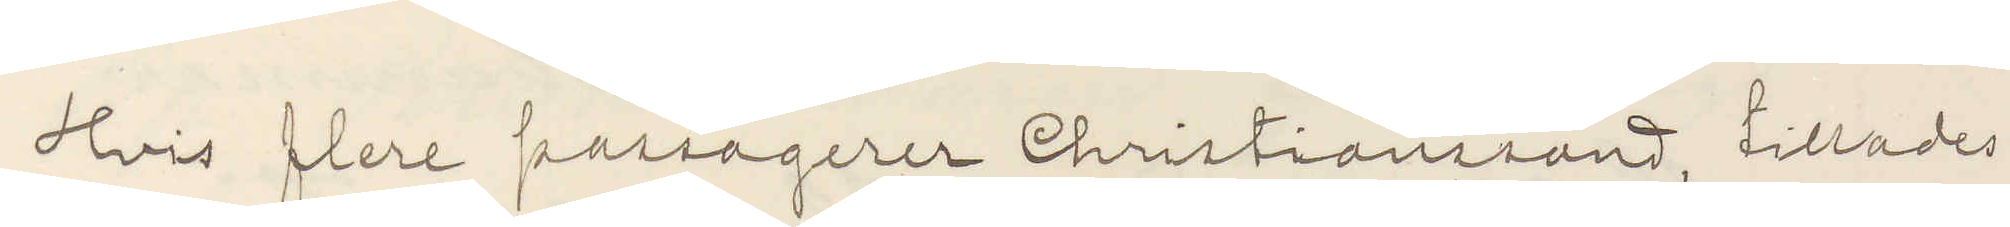Hvis flere passagerer Christiansand, tillades
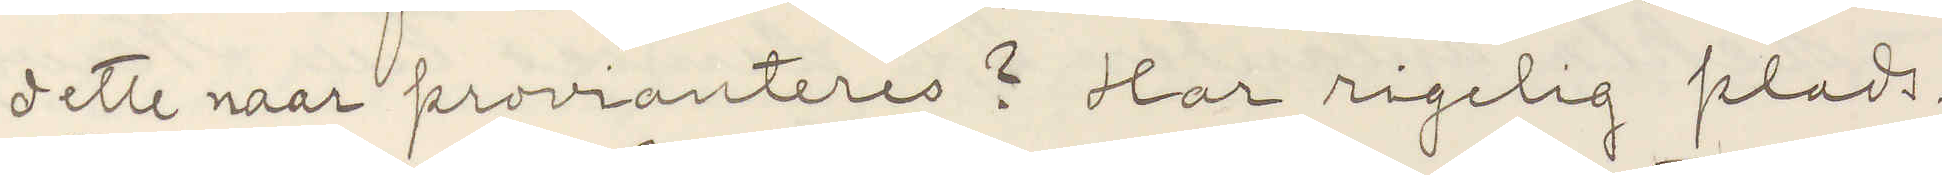dette naar provianteres? Har rigelig plads.
